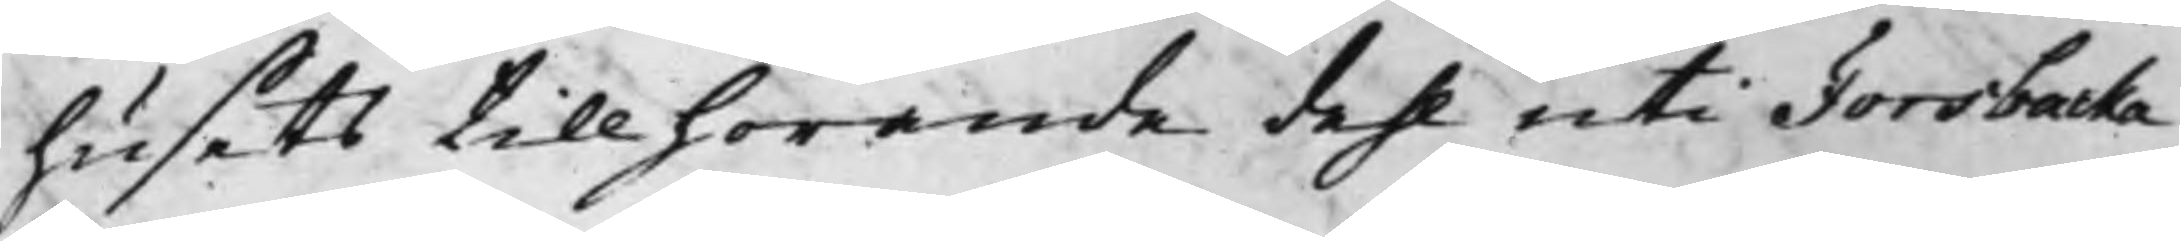husets tillhörande dehl uti Forsbacka
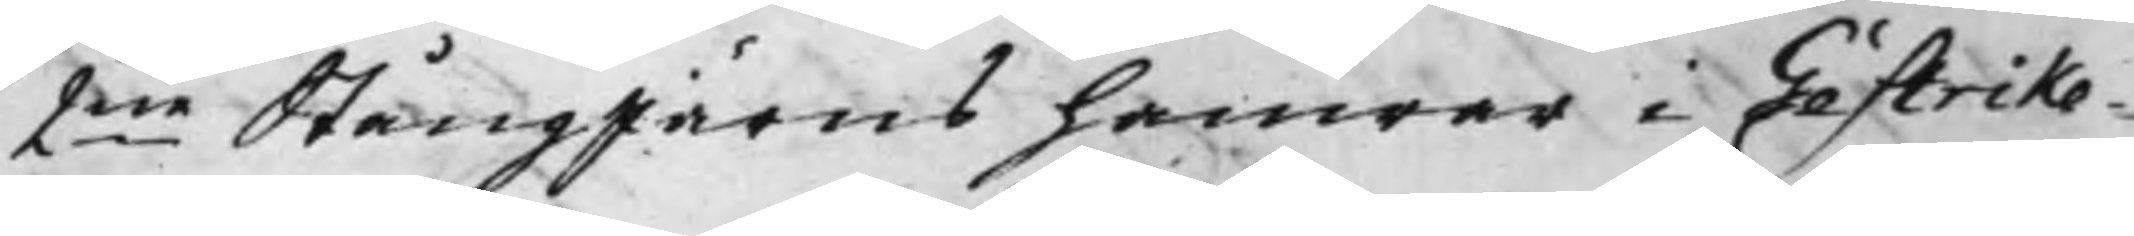2ne Stångjärns hamrar i Gästrike¬
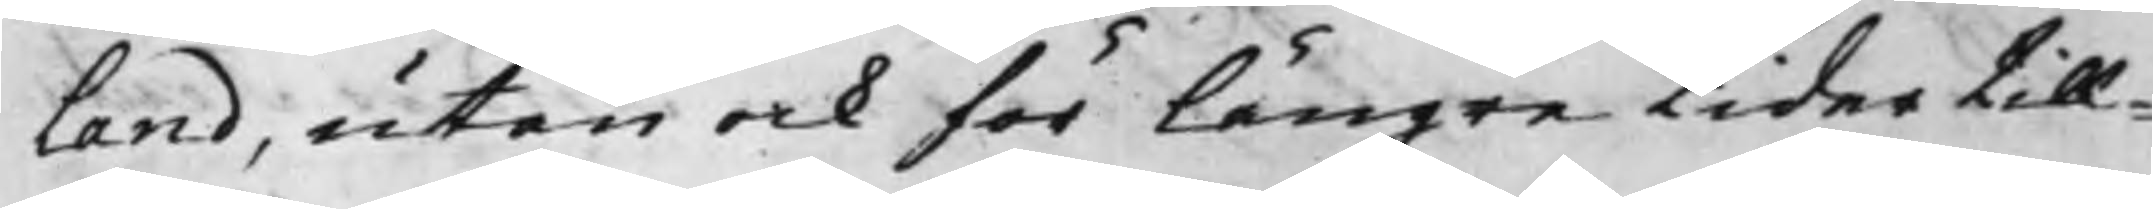land, utan ock för längre tider till¬
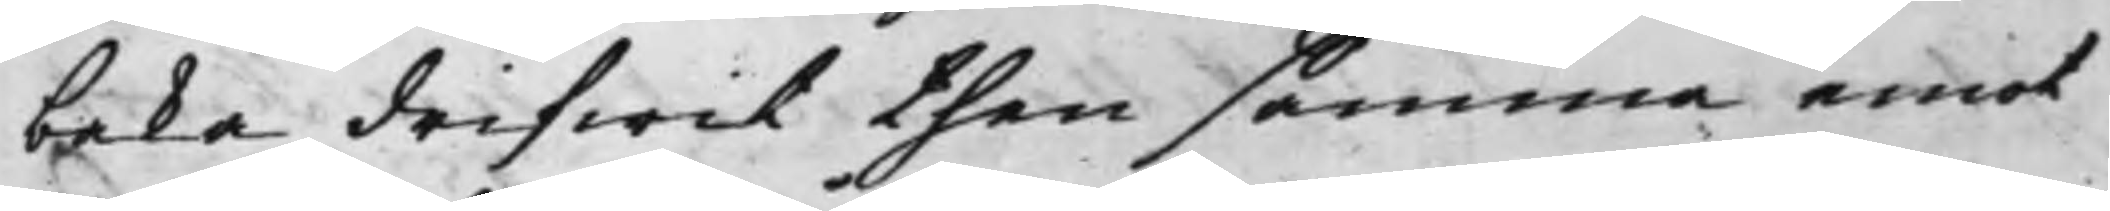baka drifwit then samma emot
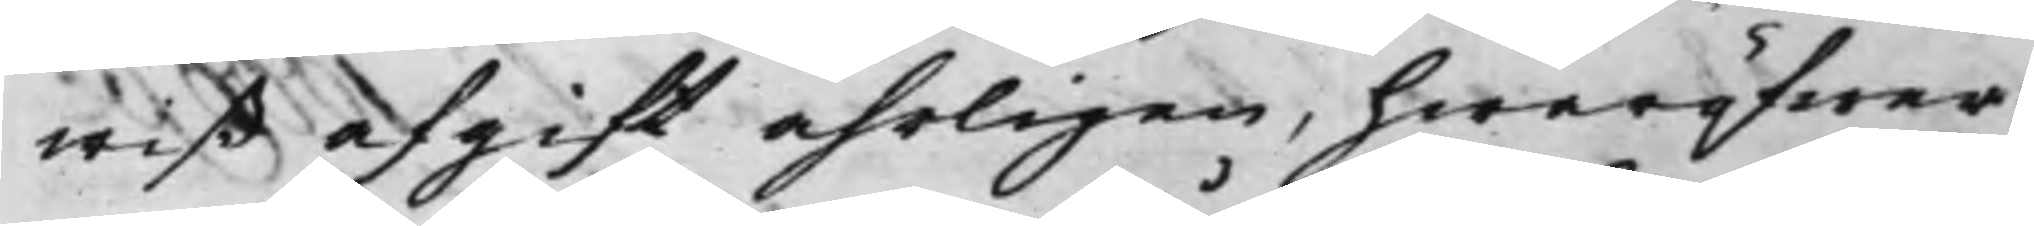wiß afgift åhrligen, hwaröfwer
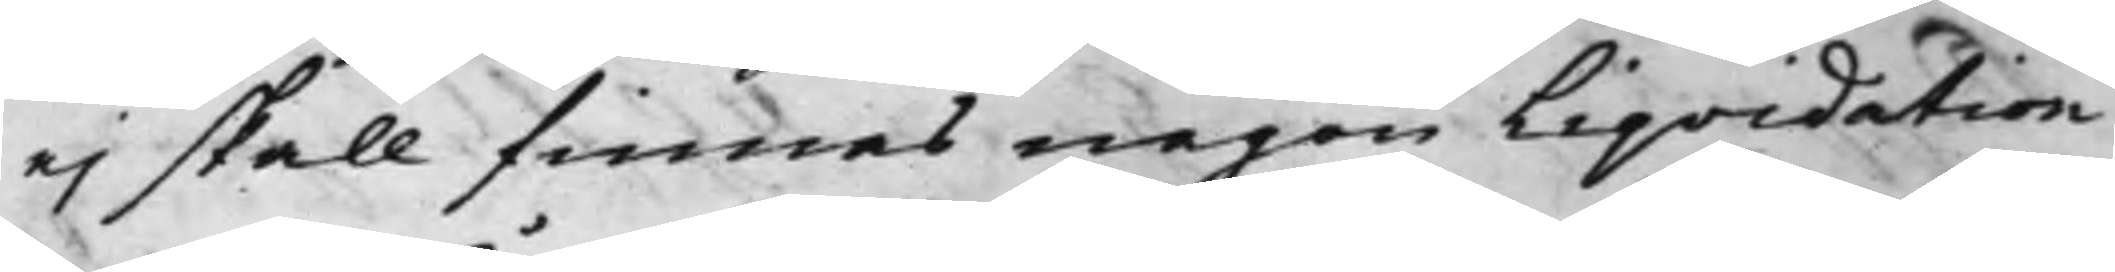ej skall finnas någon Liqvidation
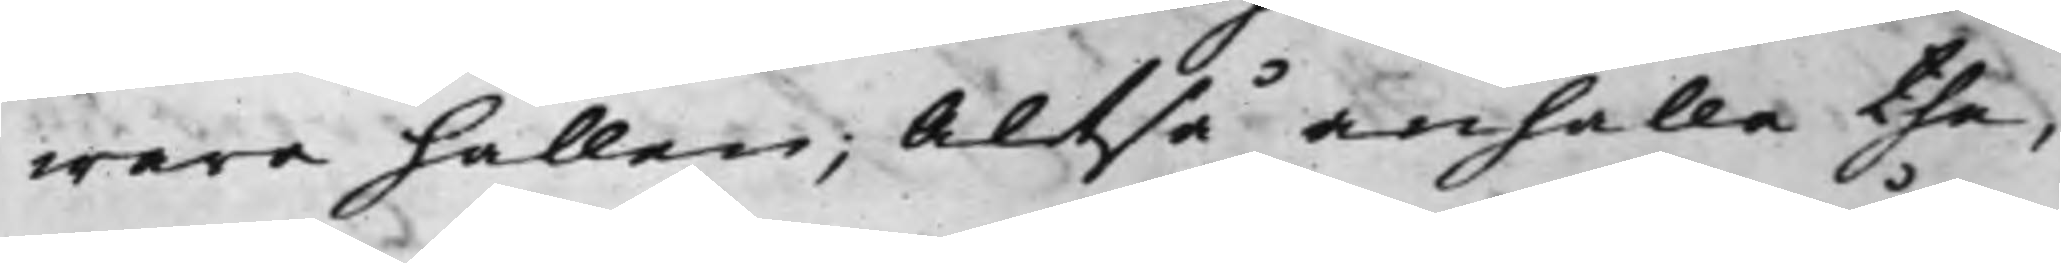wara hållen; Altså anhålla the,
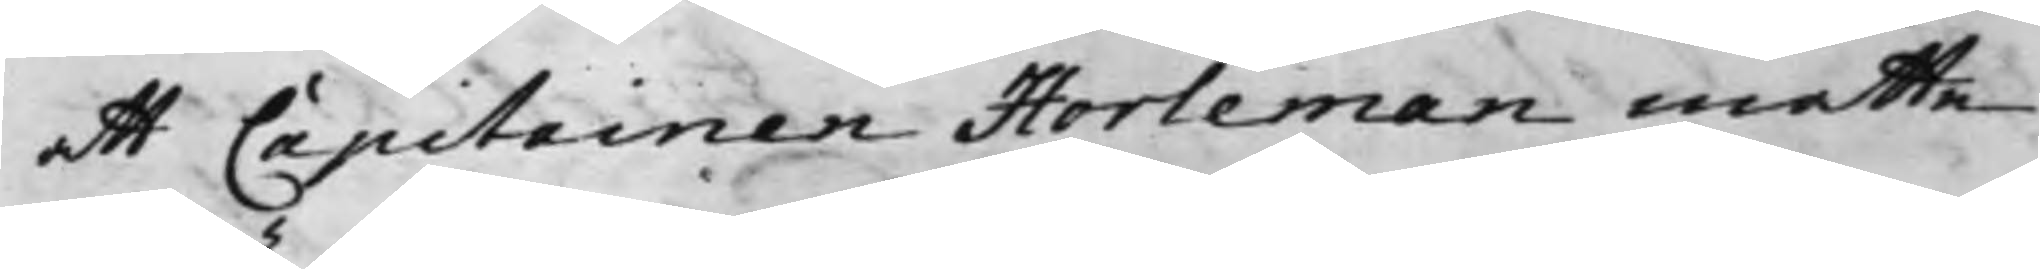att Capitainen Horleman måtte
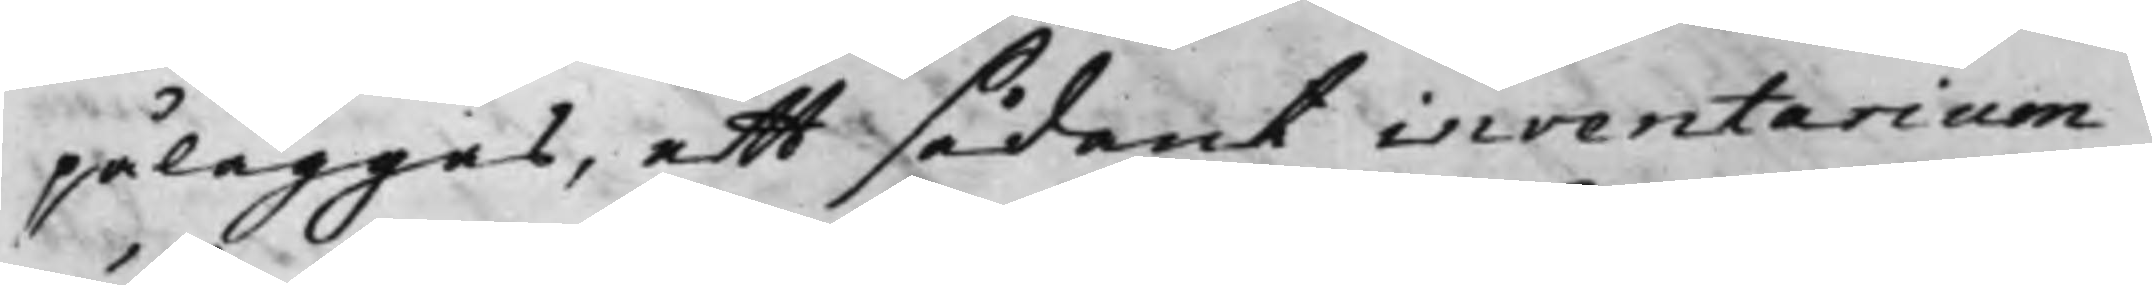påläggas, att sådant inventarium
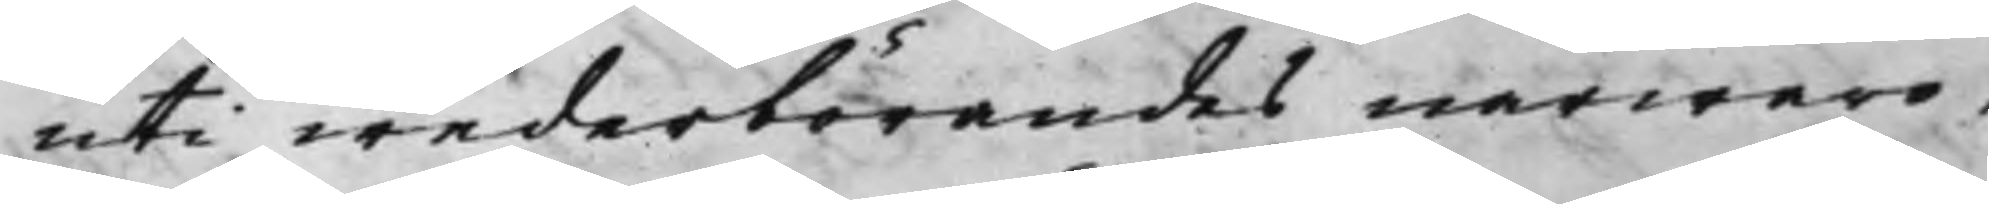uti wederbörandes närwaro,
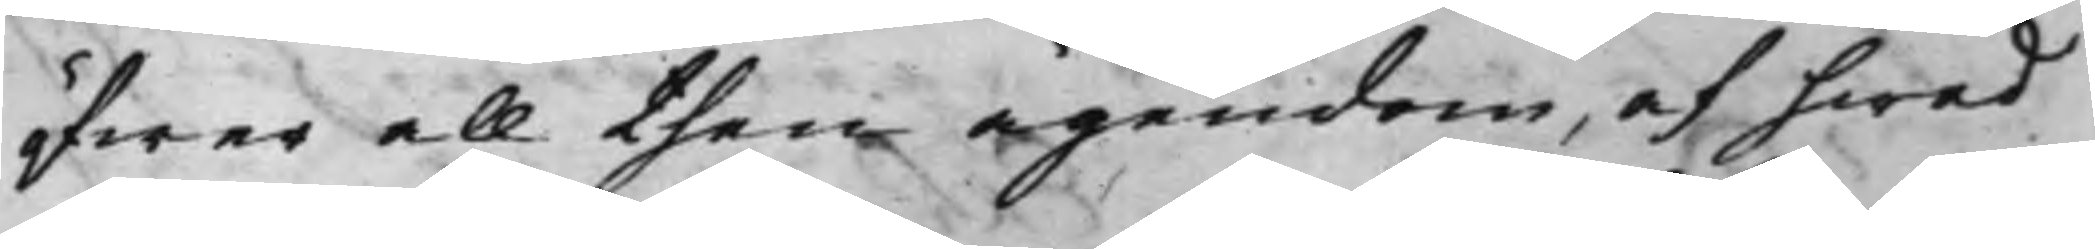öfwer all then ägendom, af hwad
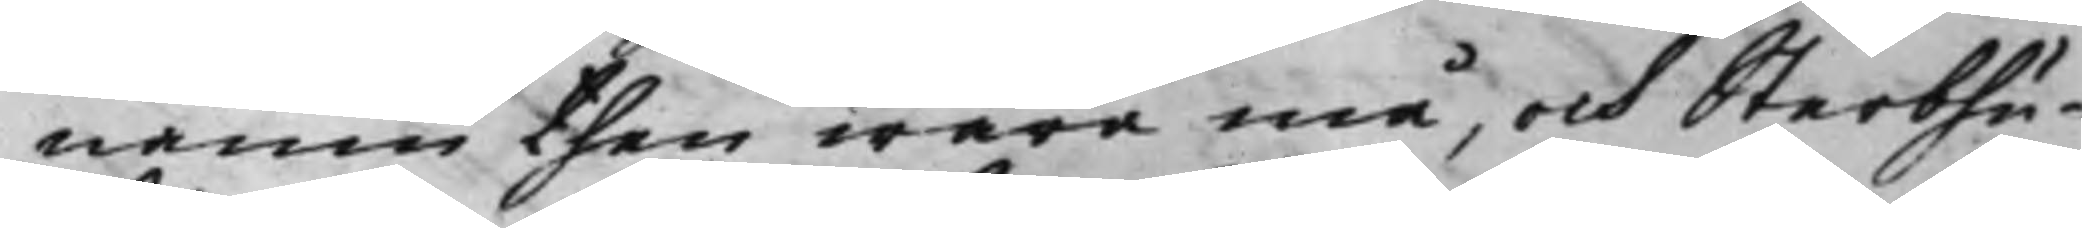namn then wara må, och Sterbhu¬
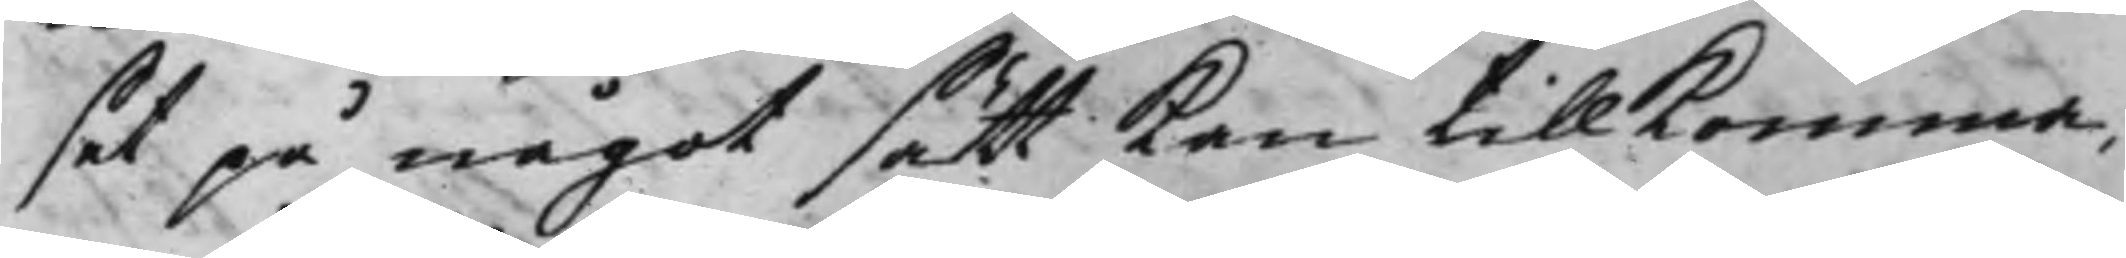set på något sätt kan tillkomma,
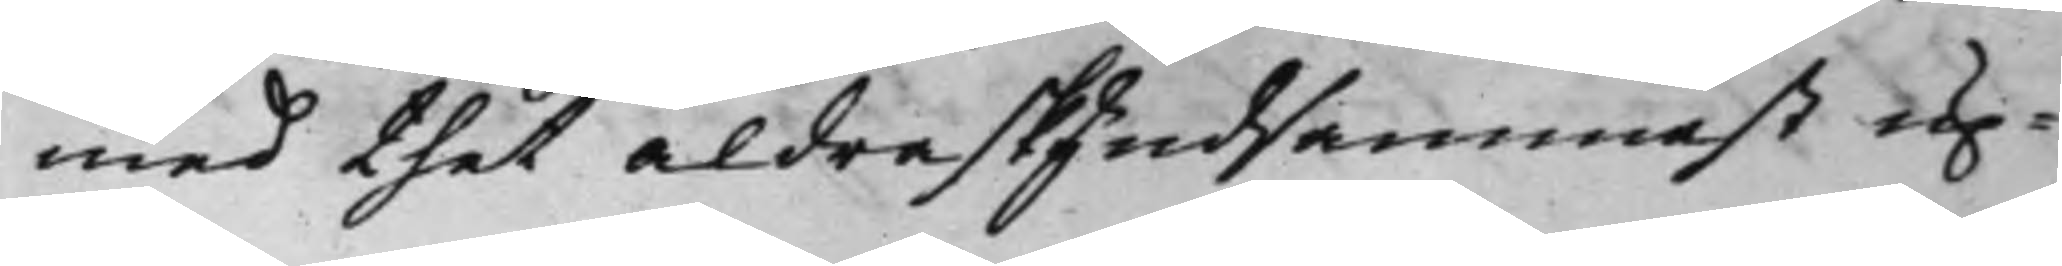med thet aldra skyndsammast up¬
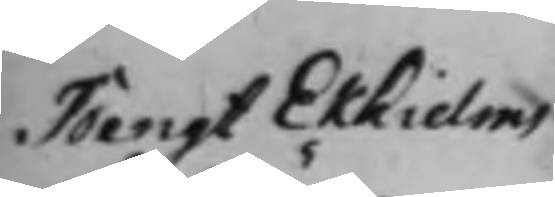Bengt Ekhielms
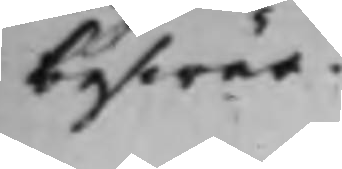beswär.
